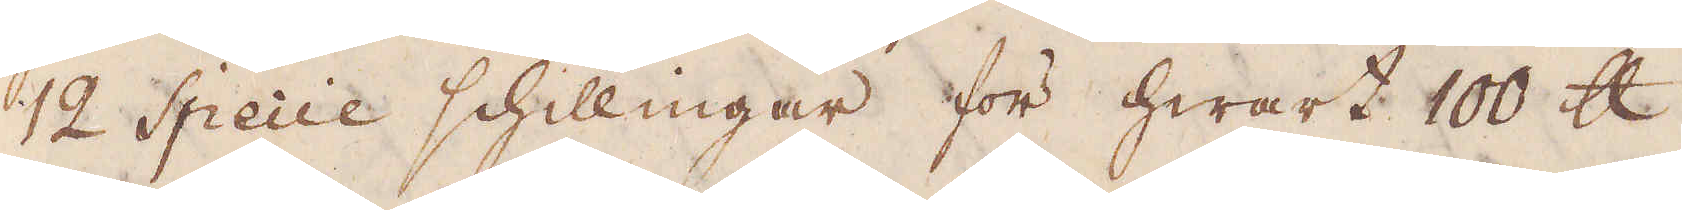12 Specie schillingar för hwart 100 skålpund,
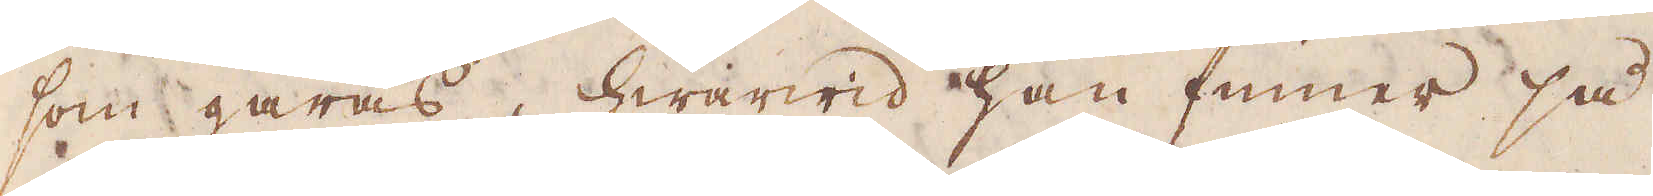som gåras, hwarwid han finner så
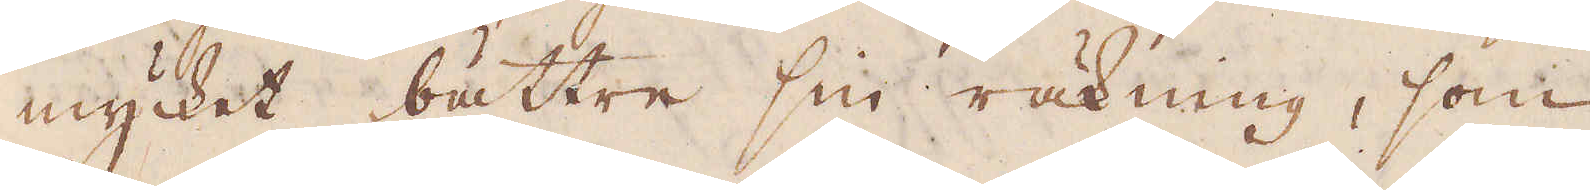mycket bättre sin räkning, som
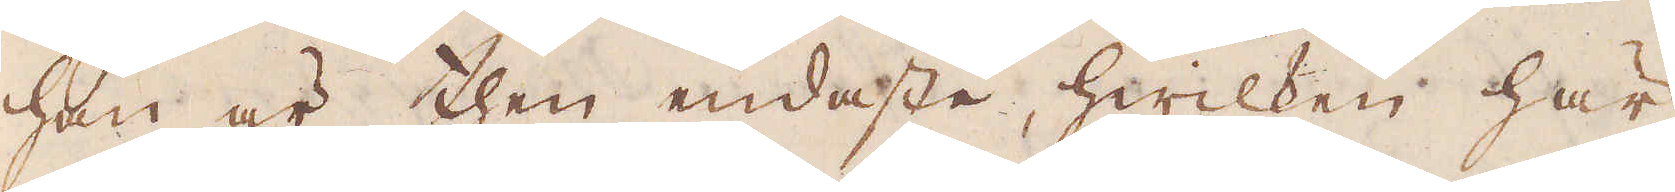han är then endaste, hwilken här
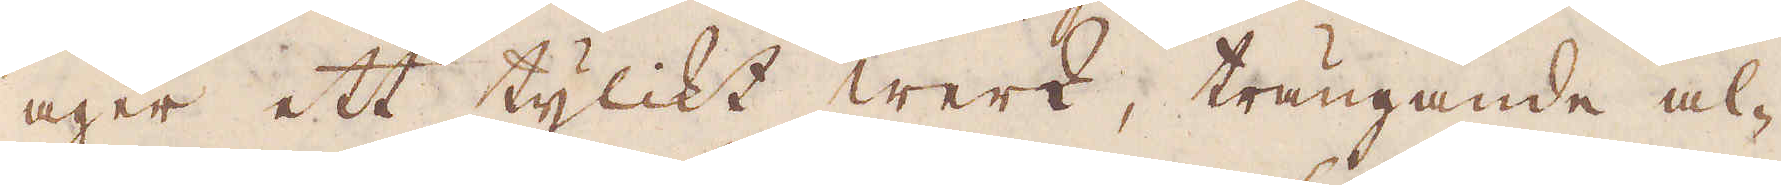äger ett tylikt werk, trängande al-
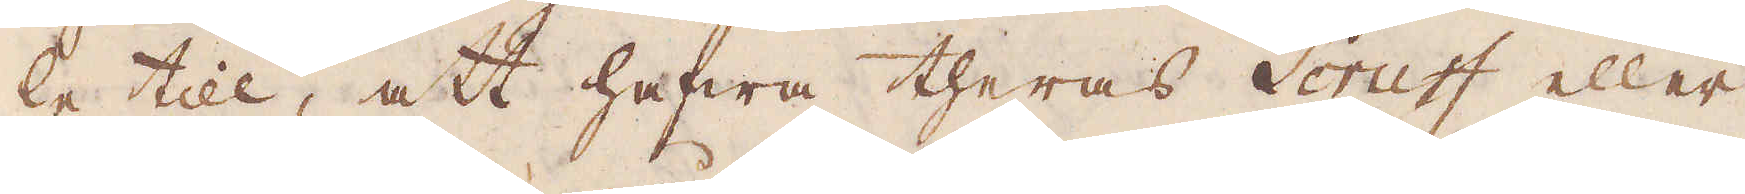le till, att hafwa theras Scruff eller
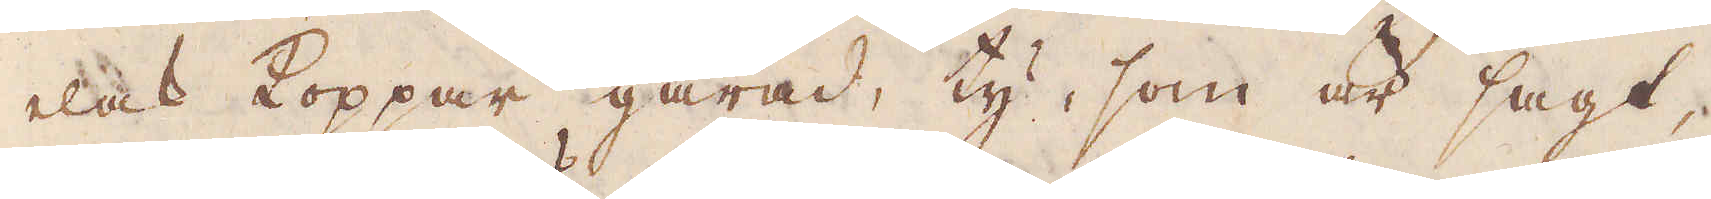elak Koppar gårad, ty, som är sagt,
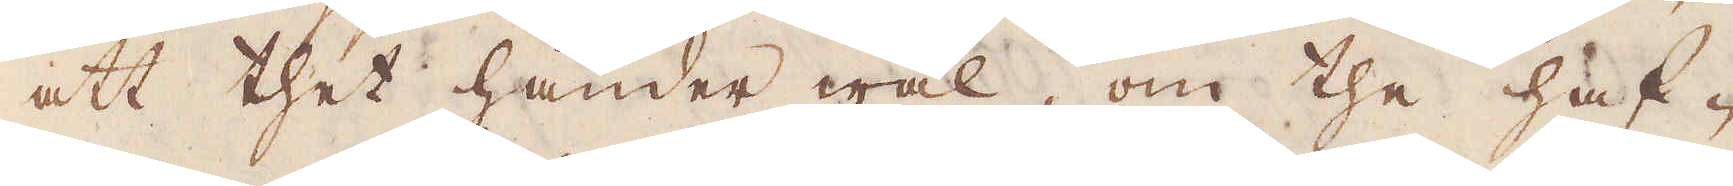att thet händer wäl, om the haf-
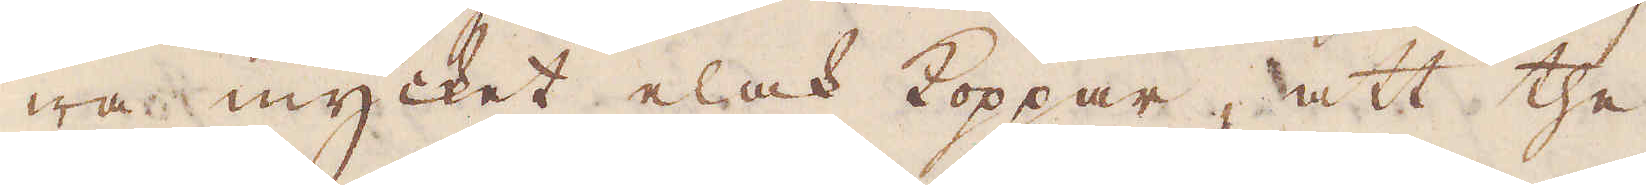wa mycket elak koppar, att the
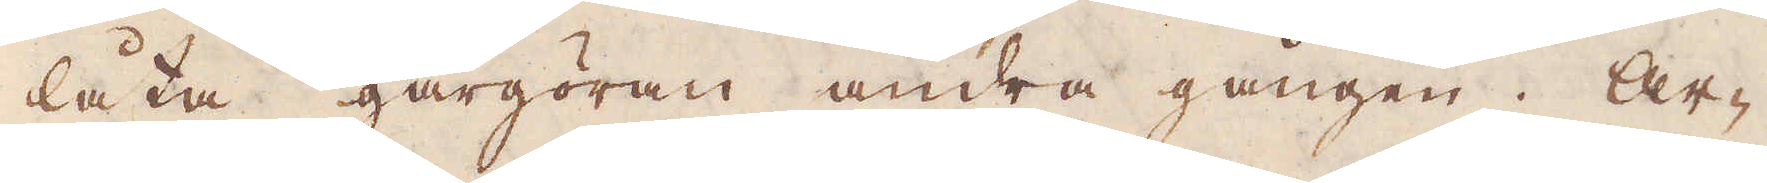låta gårgöran andra gången. Ar-
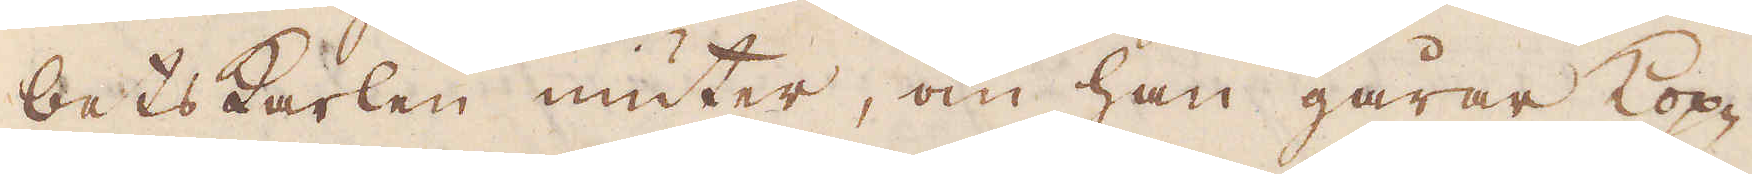betskarlen niuter, om han gårar Kop-
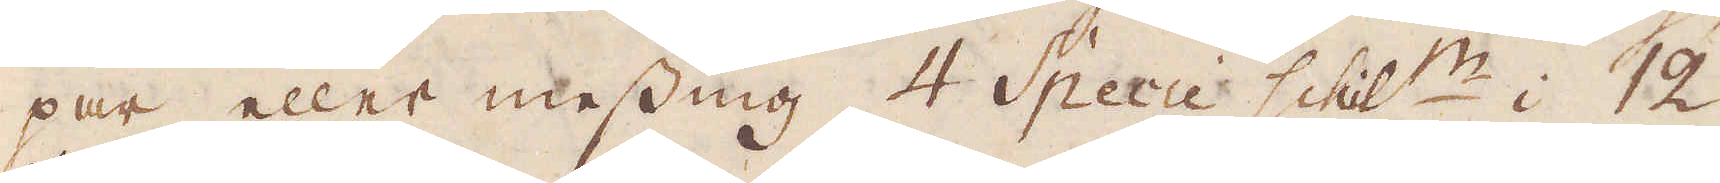par eller messing, 4 Specie schill:r i 12
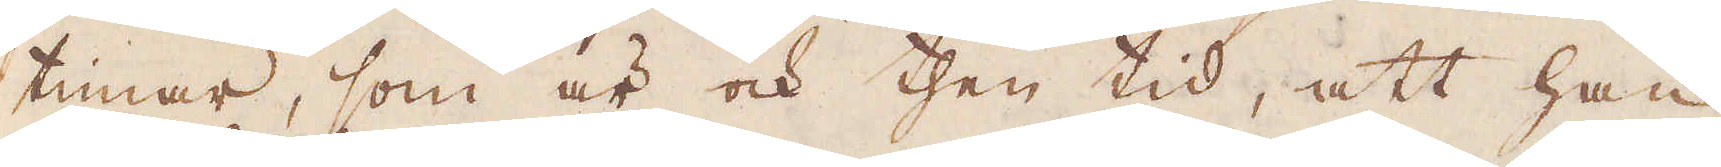timar, som är ock then tid, att han
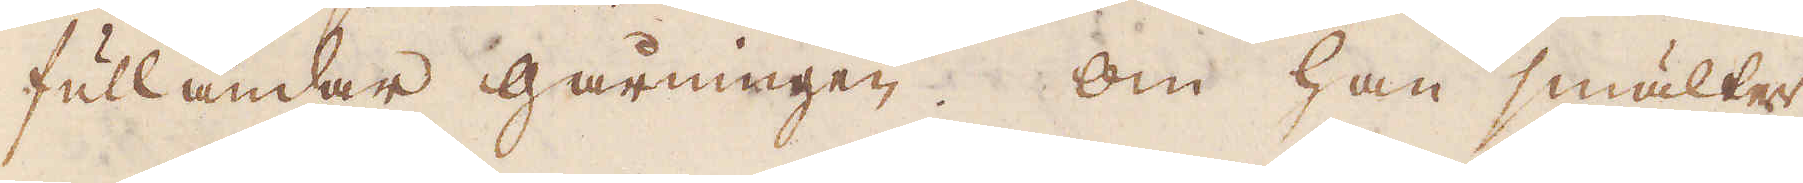fulländar gårningen. Om han smälter
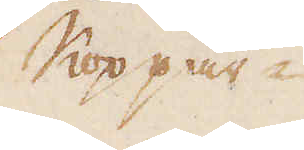Koppar
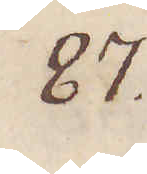87.
